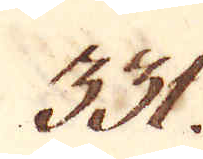331.
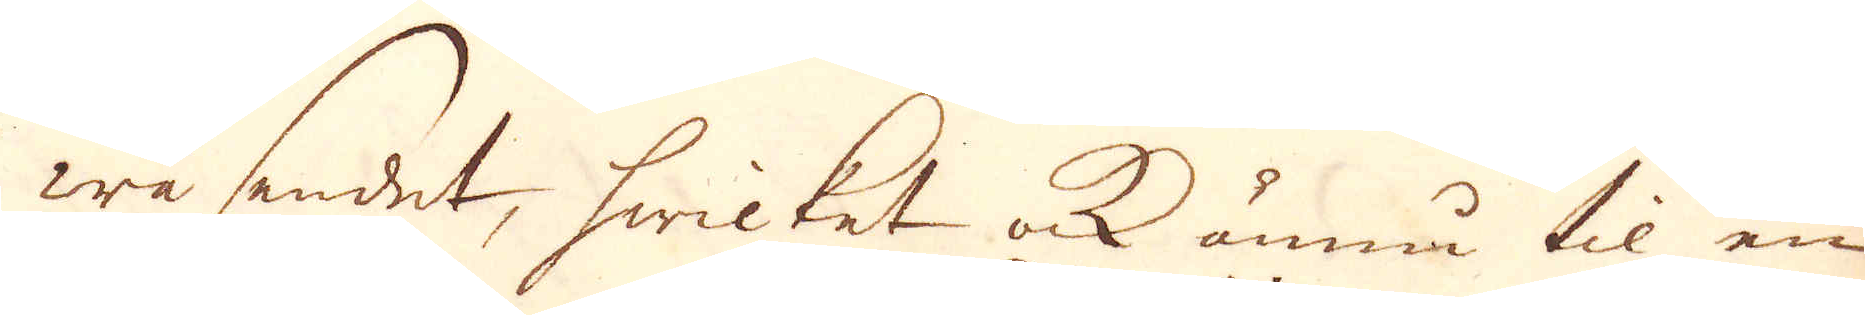wäsendet, hwilket ok ännu til en
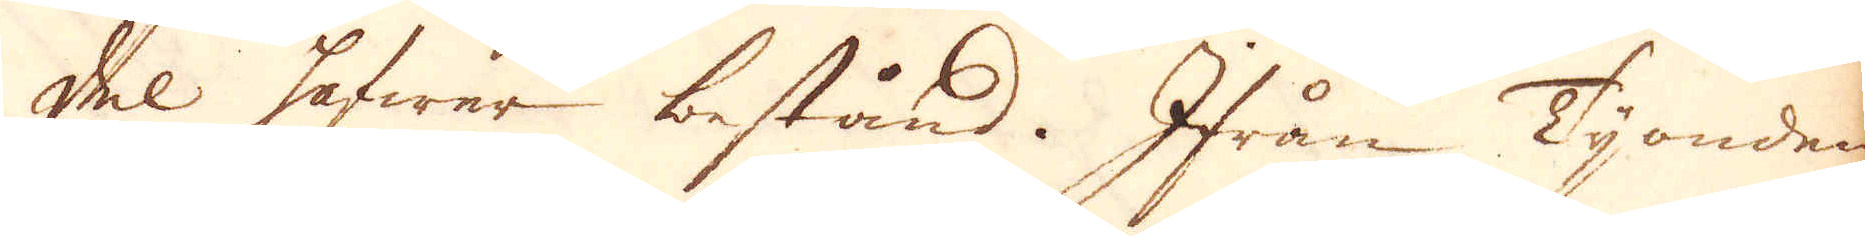del hafwer bestånd. Ifrån Tijonden
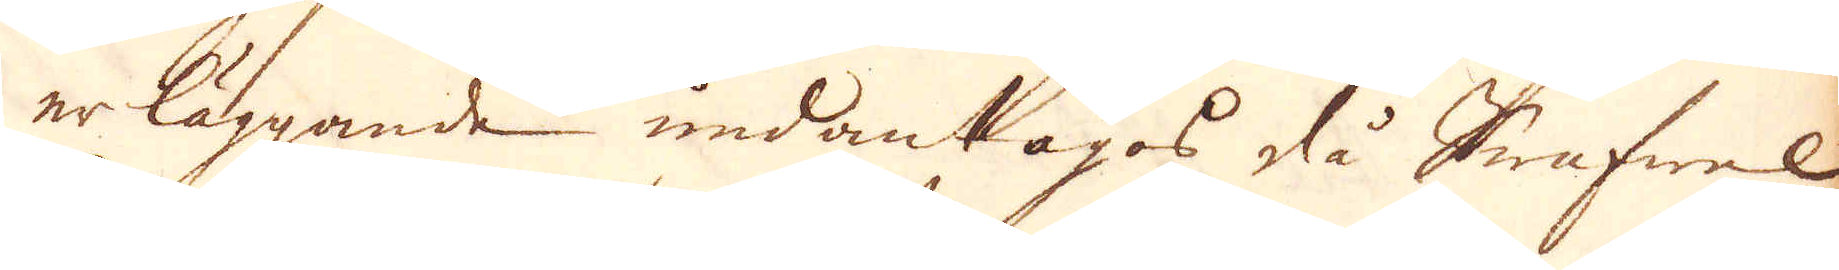erläggande undantagos slå Swafwel,
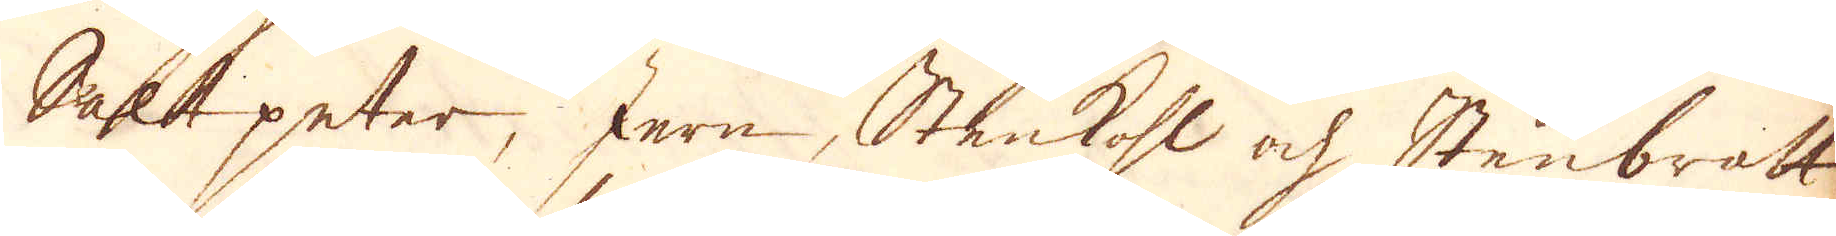Saltpeter, Jern, Stenkohl ock Stenbrott
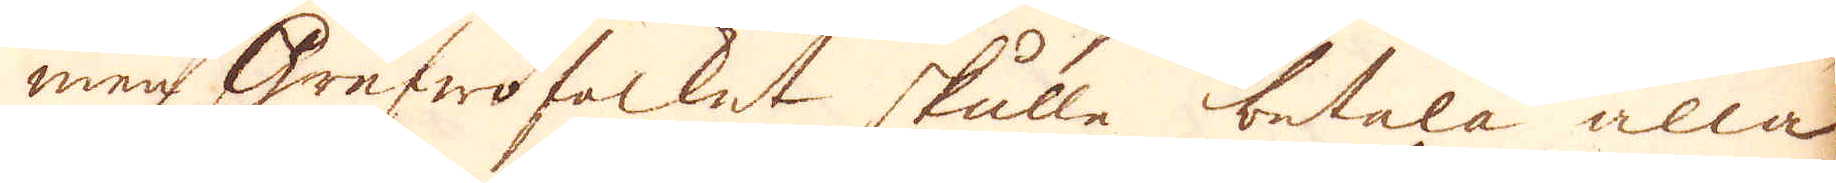men Grufwofolket skulle betala alla
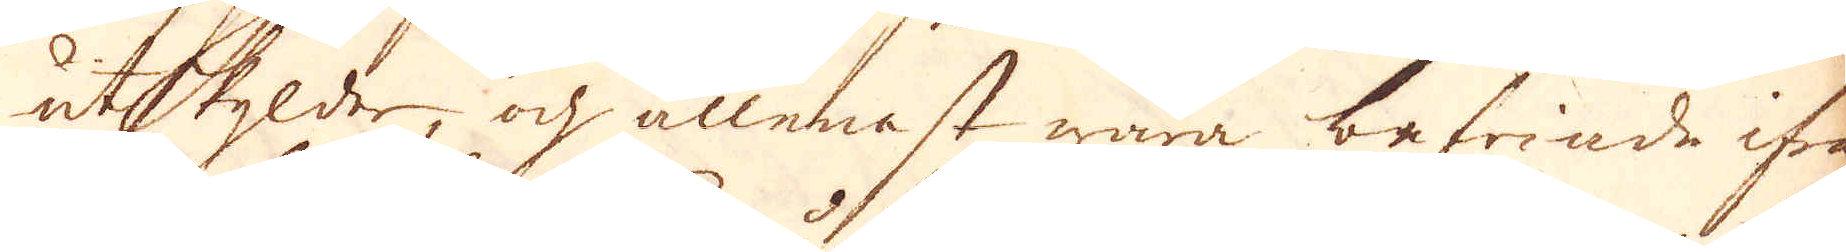utskylder, och allenast wara befriade ifrån
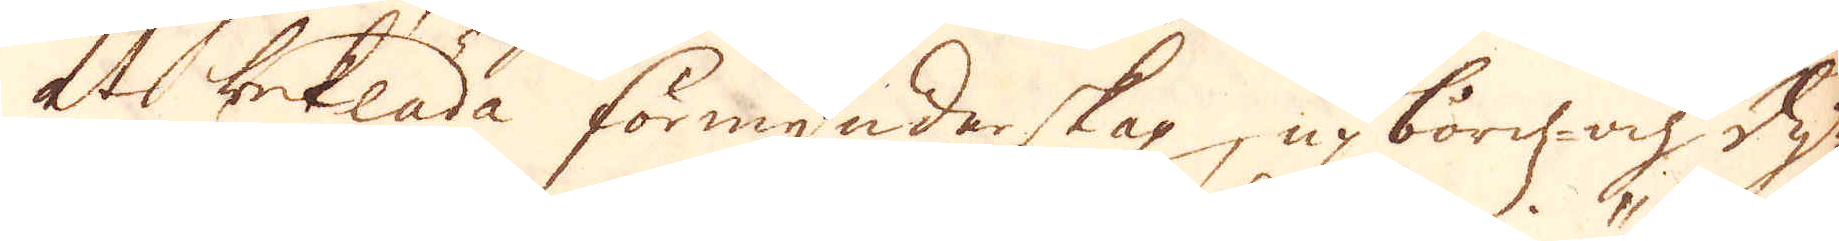at betala förmynderskap upbörds- och dy-
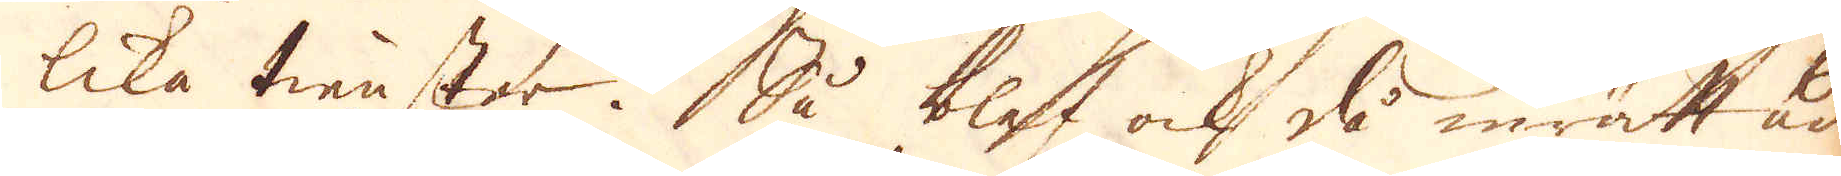lika tienster. Så blef ock då inrättad
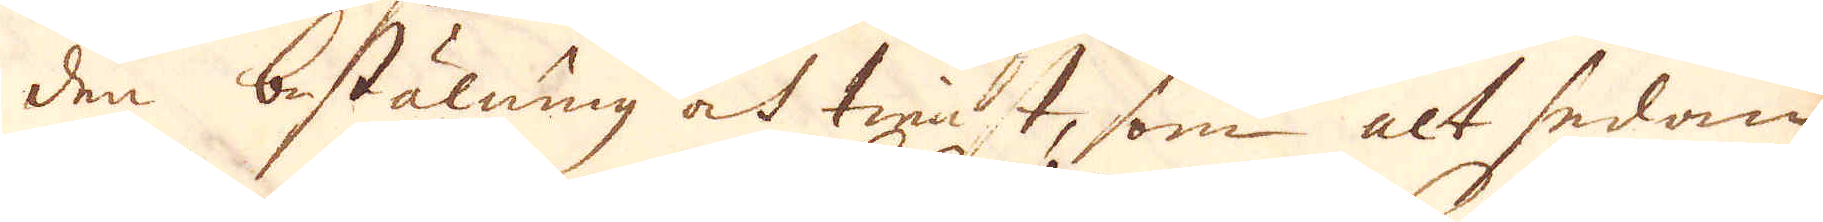den bestälning ock tienst, som alt sedam
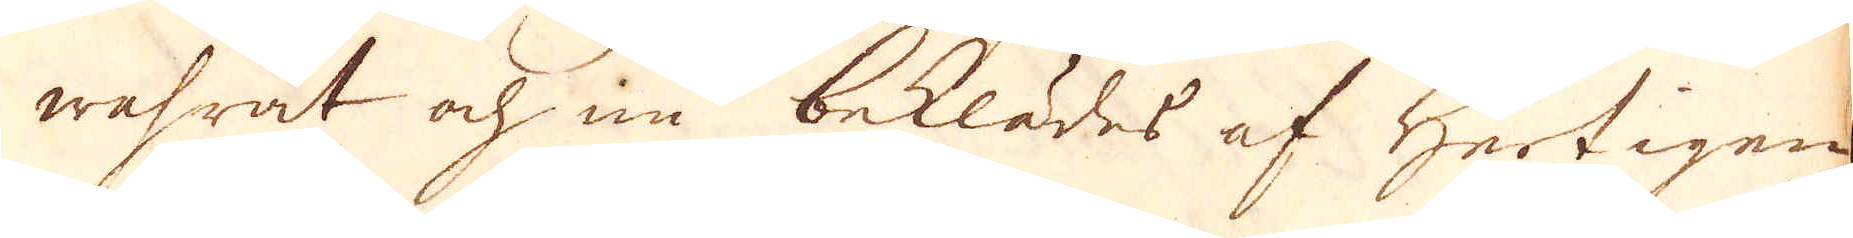wahrat och nu beklädes af Hertigen
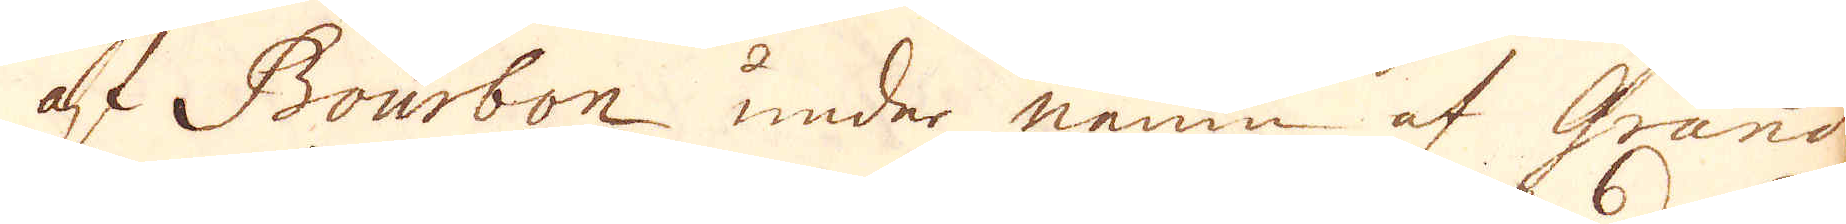af Bourbon under namn af Grand
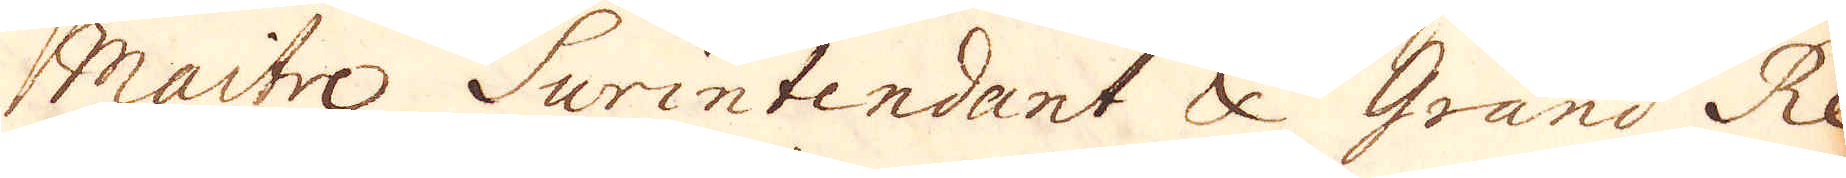Maitre, Surintendant & Grand Re-
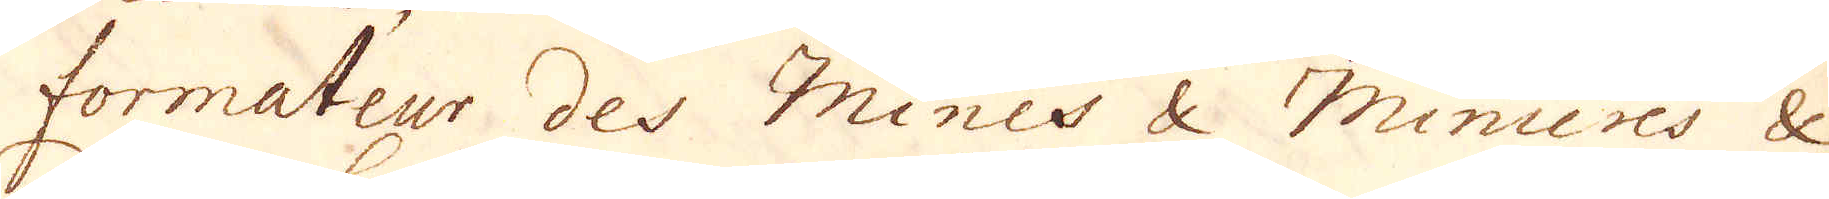formateur des Mines & Minieres &
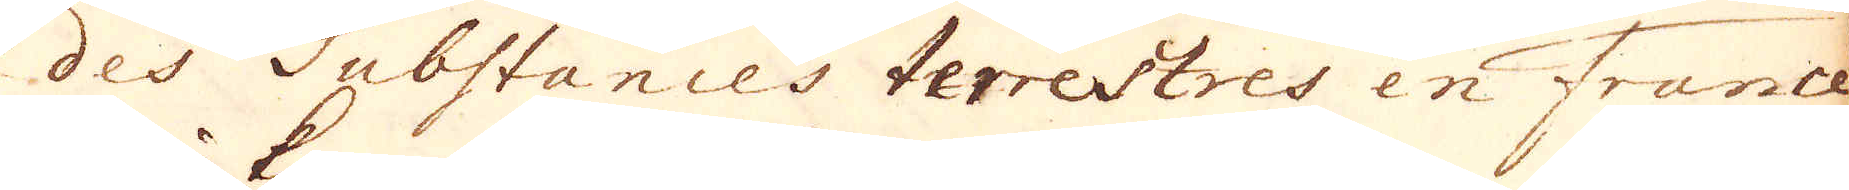des Substances terrestres en France
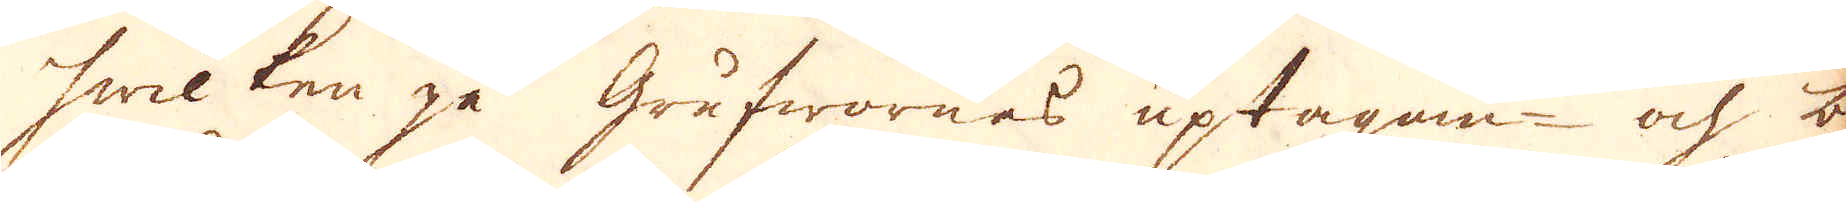hwilken gå grufwornas uptagan- ohc be-
